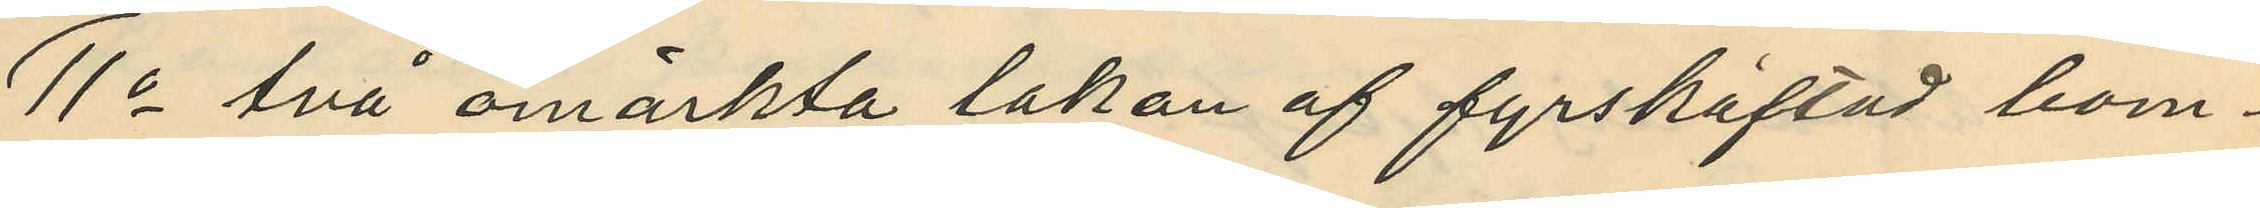11o två omärkta lakan af fyrshäftad bom¬
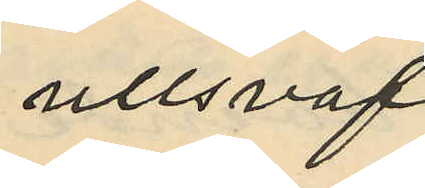ullsväf
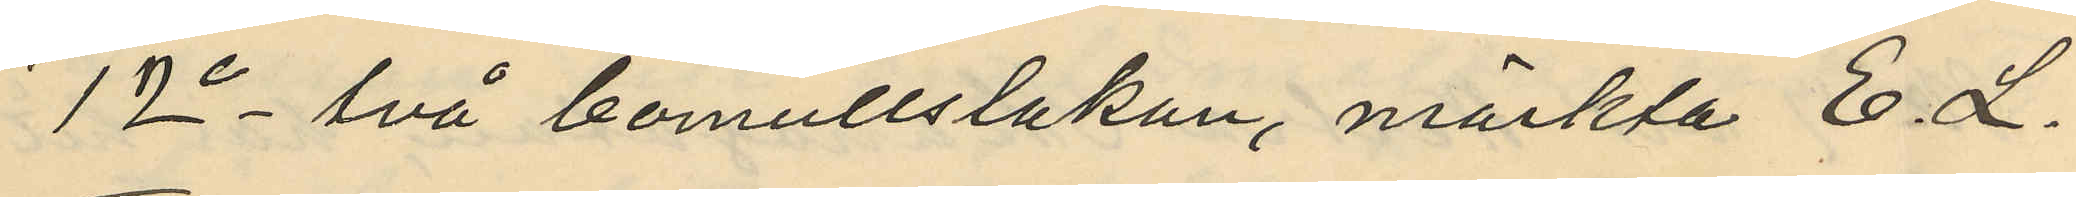12o två bomullslakan, märkta E. L.
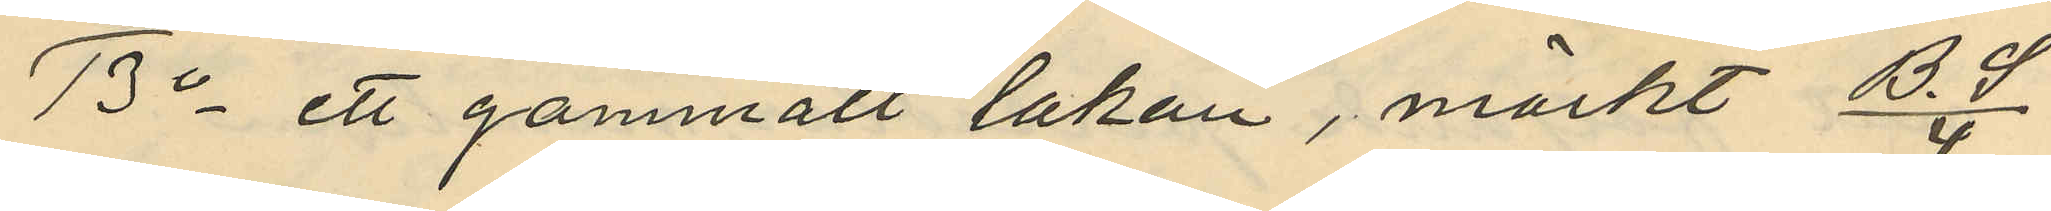13o ett gammalt lakan, märkt B. S/4
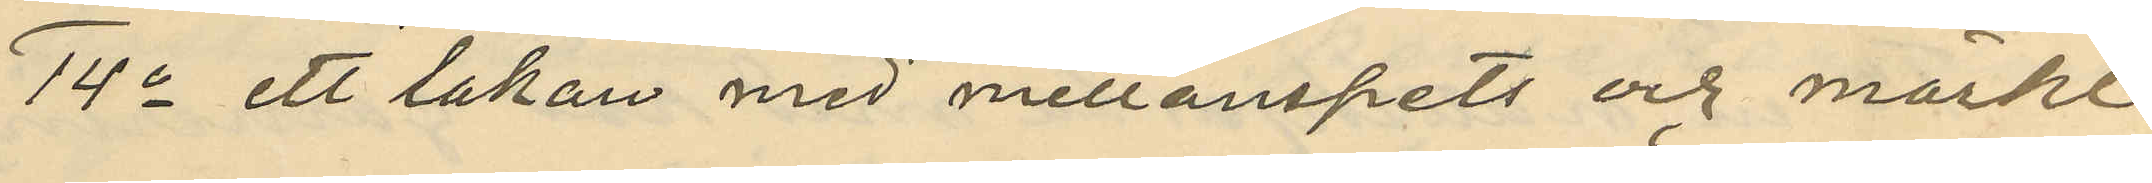14o ett lakan med mellanspets och märkt
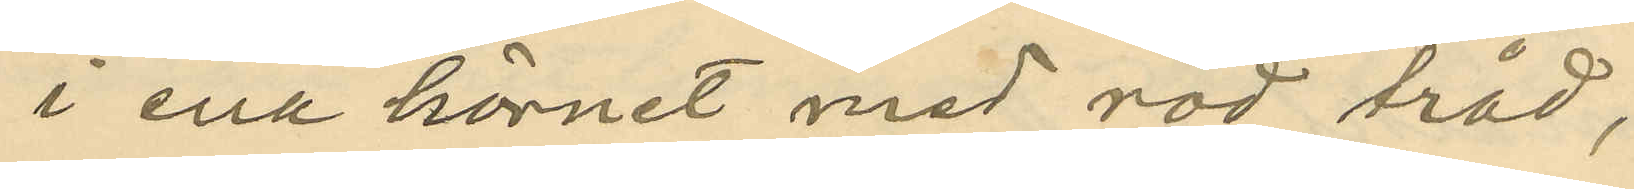i ena hörnet med röd tråd,
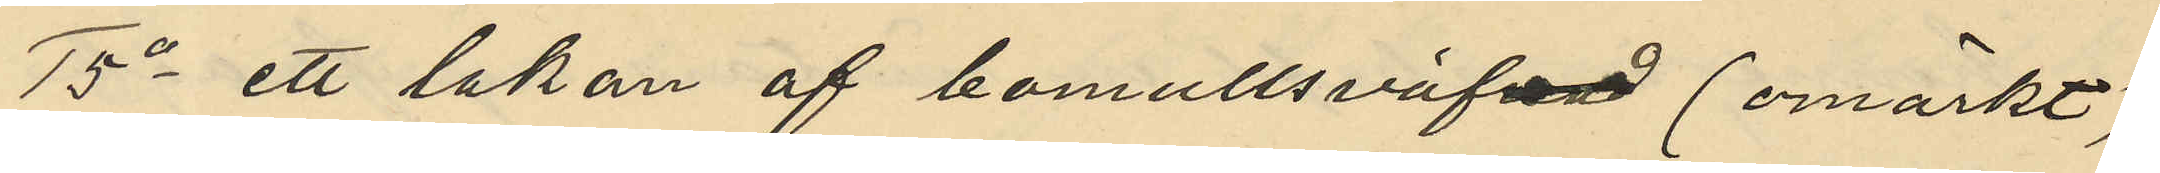15o ett lakan af bomullsväfnad (omärkt)
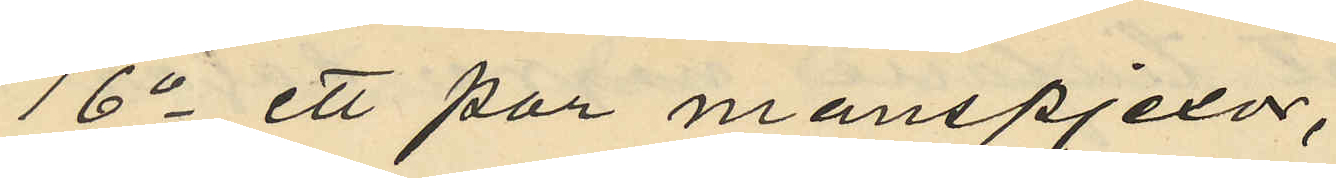16o ett par manspjexor,
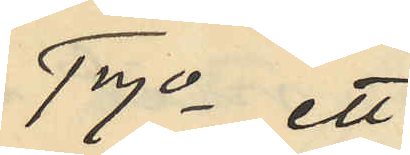17o ett
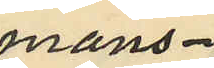mans¬
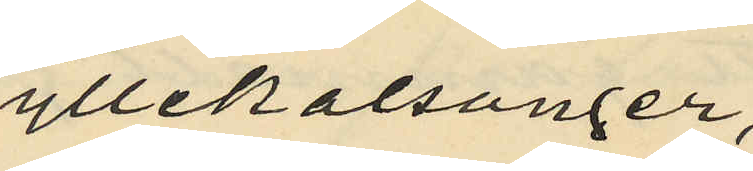yllekalsonger,
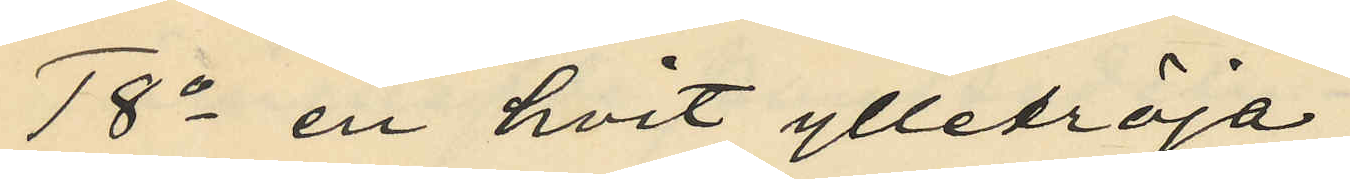18o en hvit ylletröja,
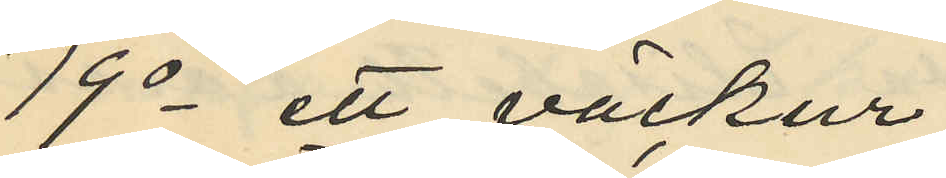19o ett väckur
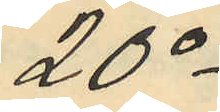20o
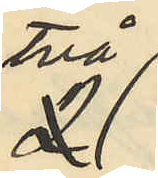Två
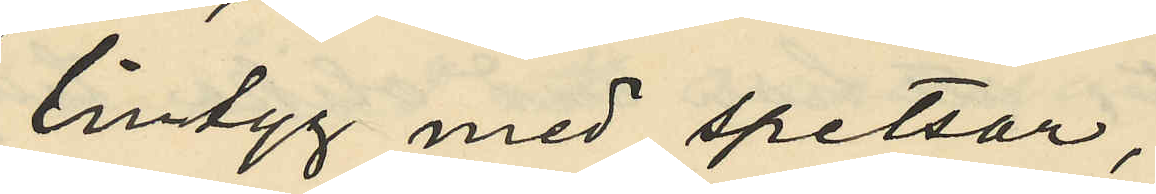lintyg med spetsar,
